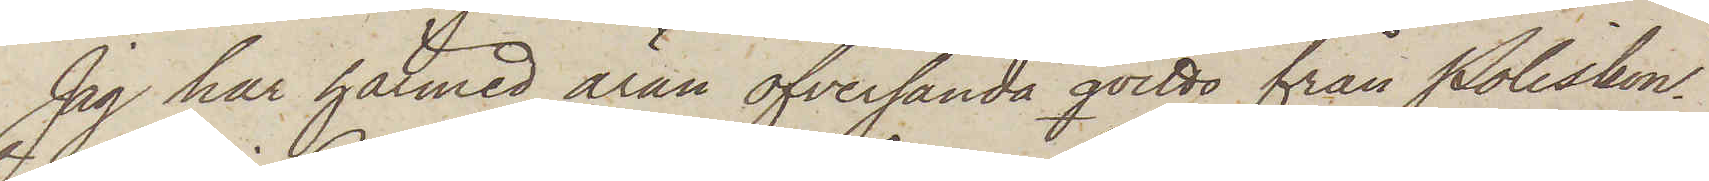Jag har härmed äran öfversända qvitto från Poliskon¬
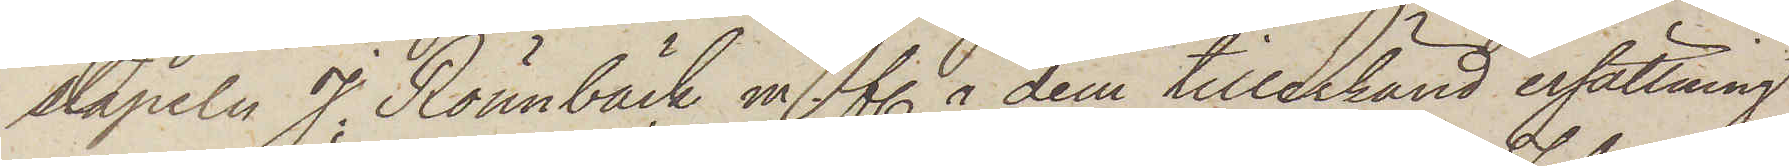stapeln J. Rönnbäck m. fl. å dem tillerkänd ersättning
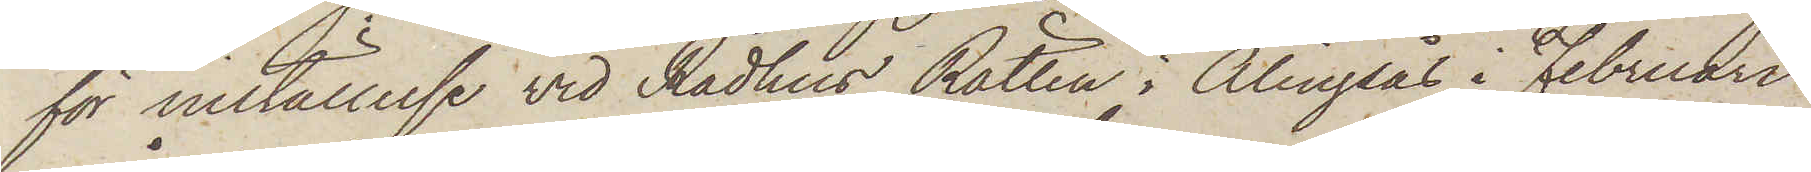för inställelse vid Rådhus Rätten i Alingsås i Februari
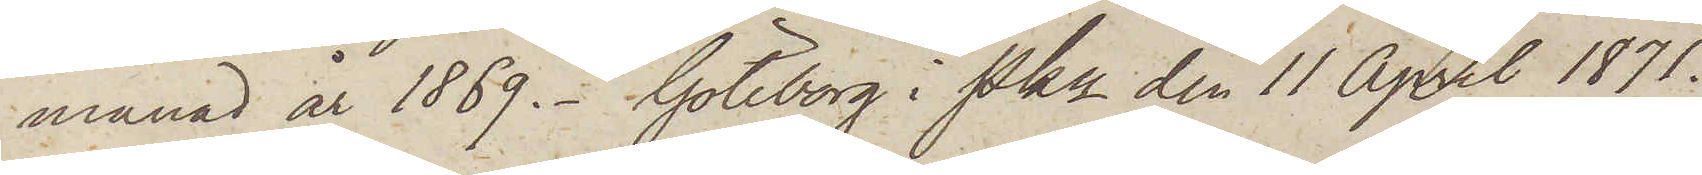månad år 1869. Göteborg i Pkn den 11 April 1871.
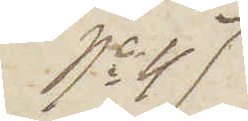No 47
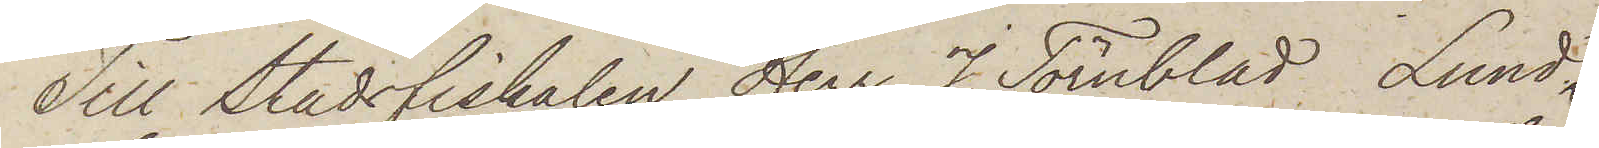Till Stadsfiskalen Herr J. Törnblad Lund.
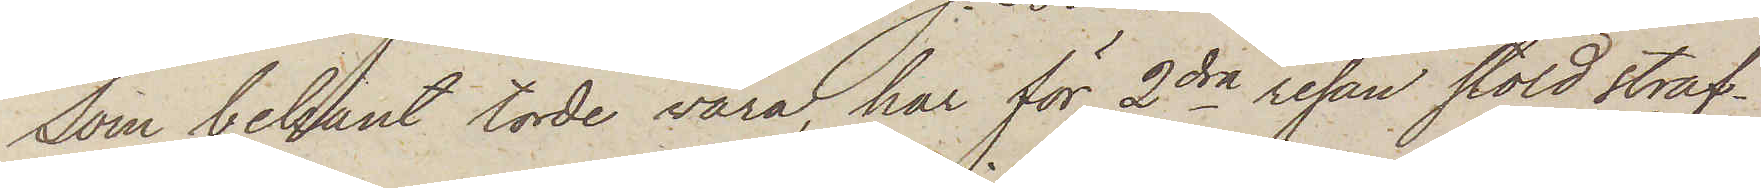Som bekant torde vara, har för 2dra resan stöld straf¬
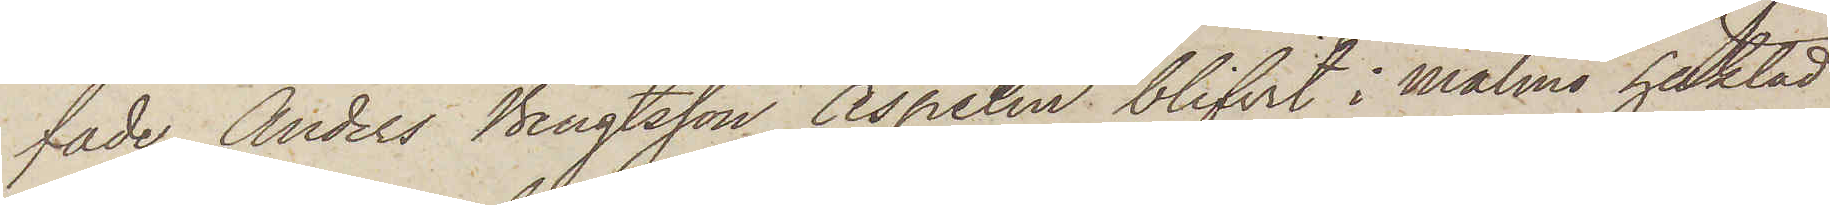fade Anders Bengtsson Aspelin blifvit i Malmö häktad
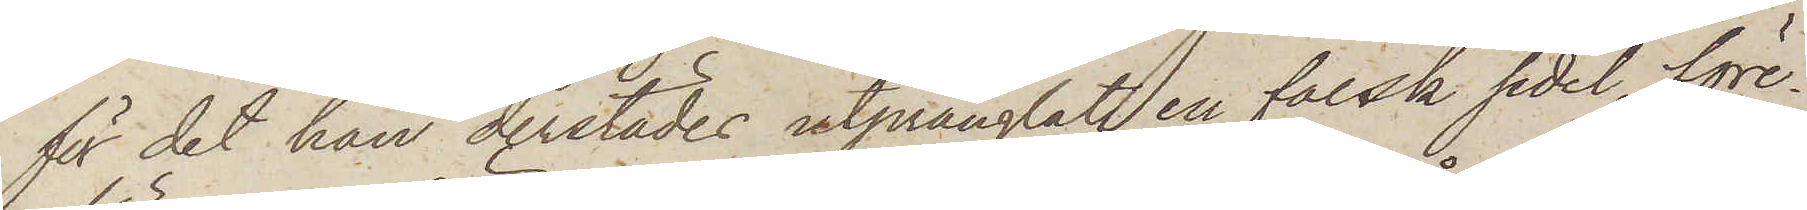för det han derstädes utprånglat en falsk sedel före¬
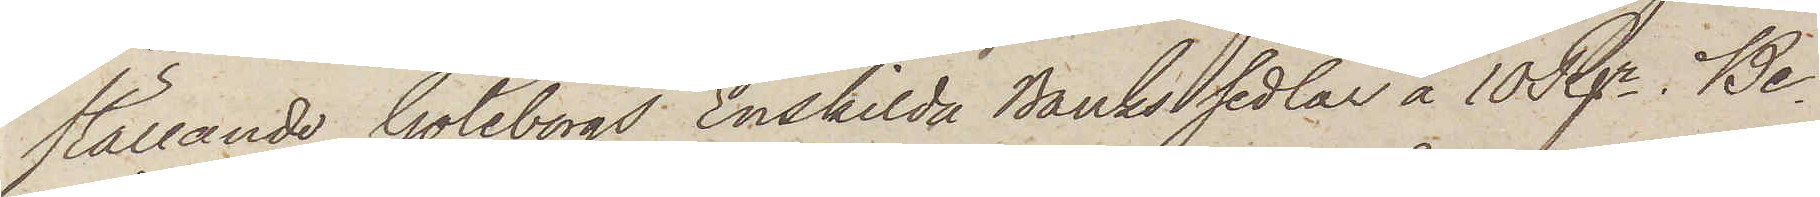ställande Göteborgs Enskilda Banks sedlar å 100 Rgr.  Be¬
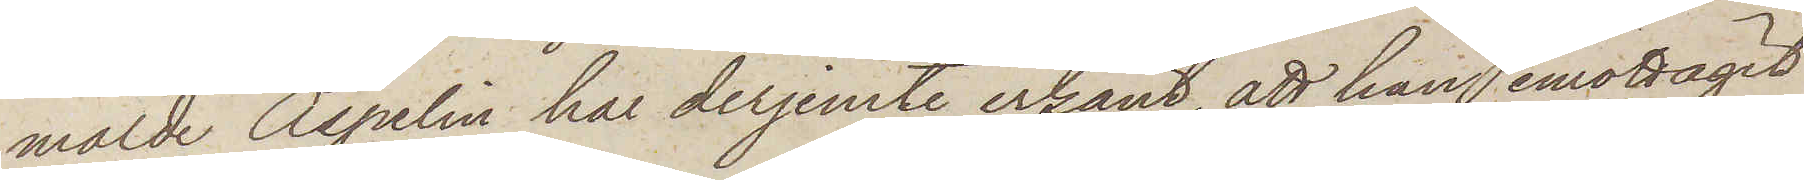mälde Aspelin har derjemte erkänt, att han emottagit
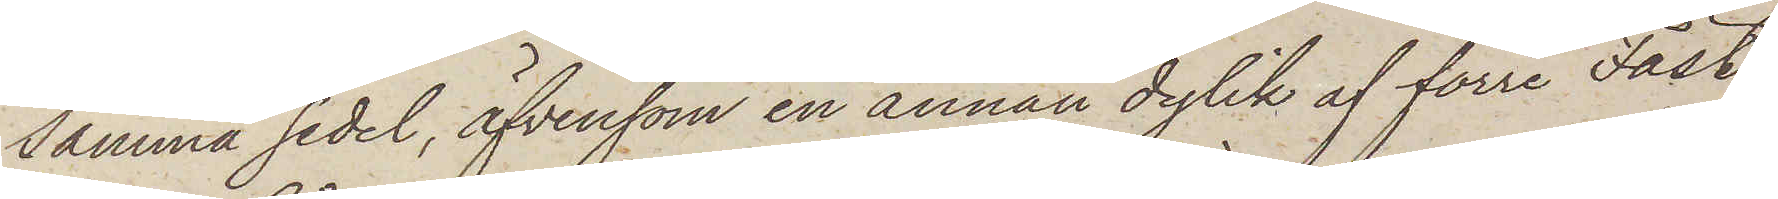samma sedel, äfvensom en annan dylik af förre Fäst¬
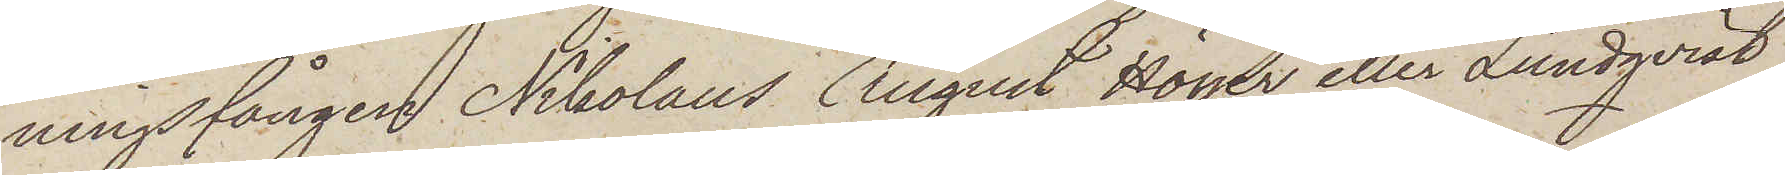ningsfången Nikolaus August Höyer eller Lundqvist,
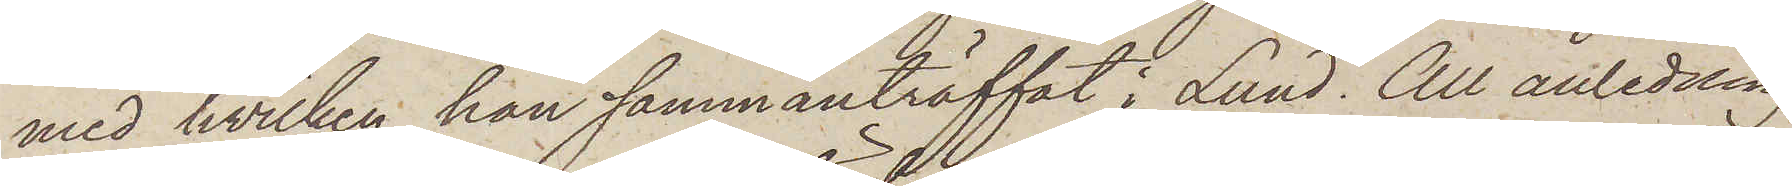med hvilken han sammanträffat i Lund. All anledning
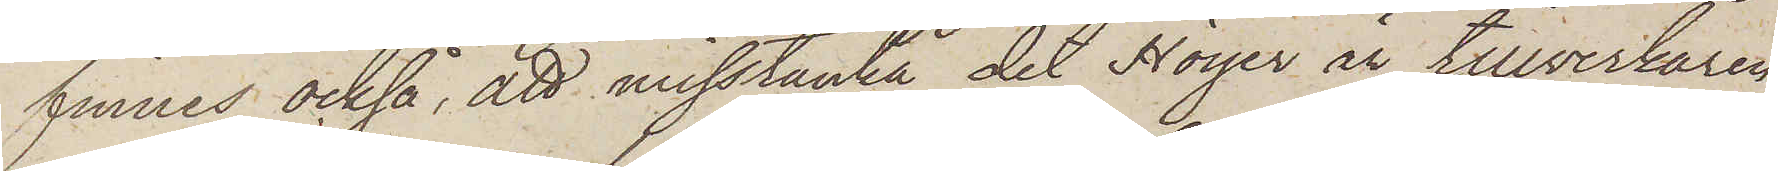finnes också, att misstänka det Hoyer är tillverkaren
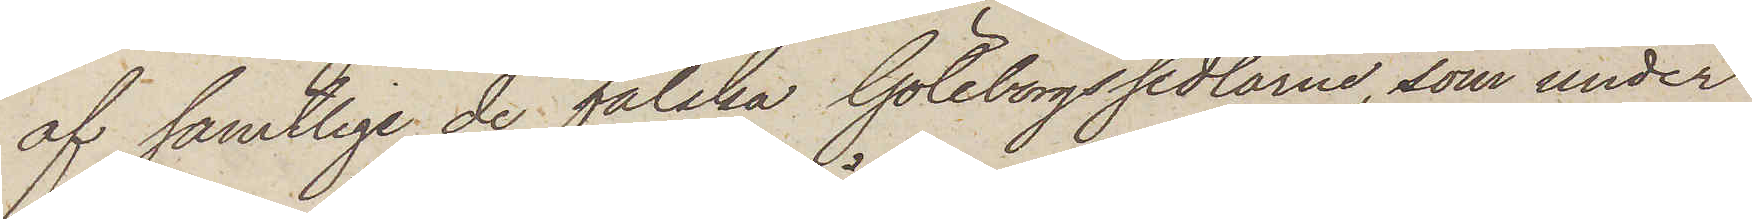af samtlige de falska Göteborgssedlarne, som under
